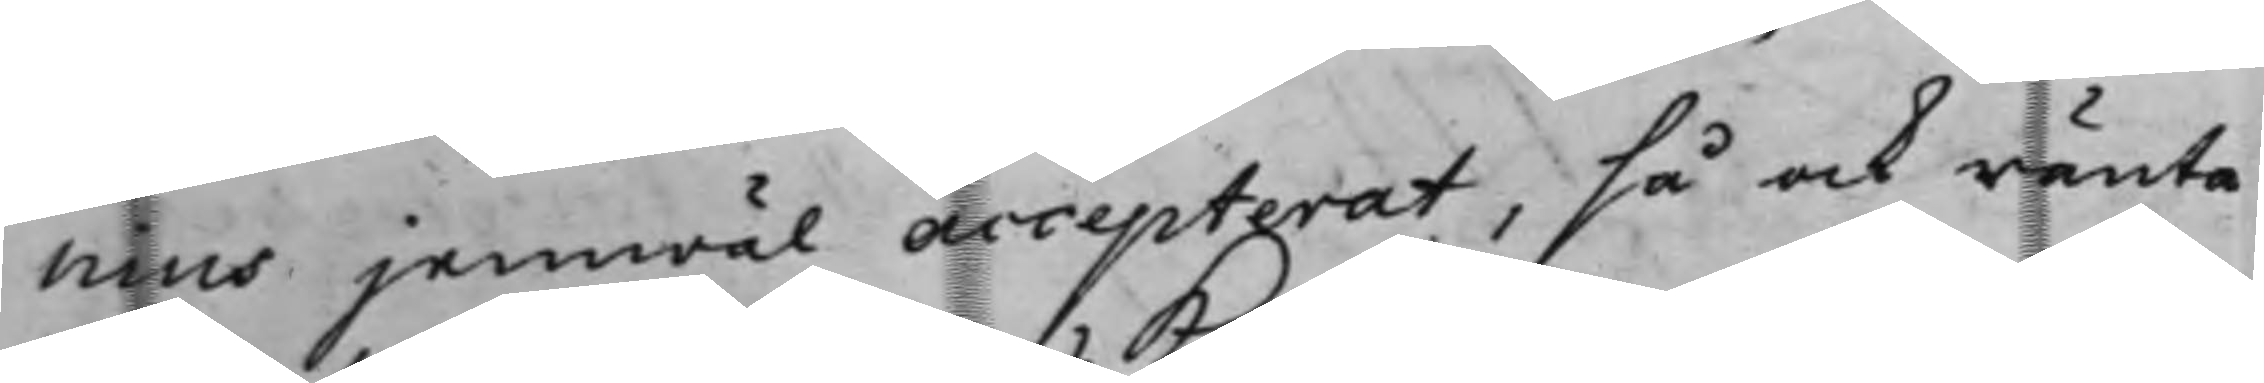nius jemwäl accepterat, så och ränta
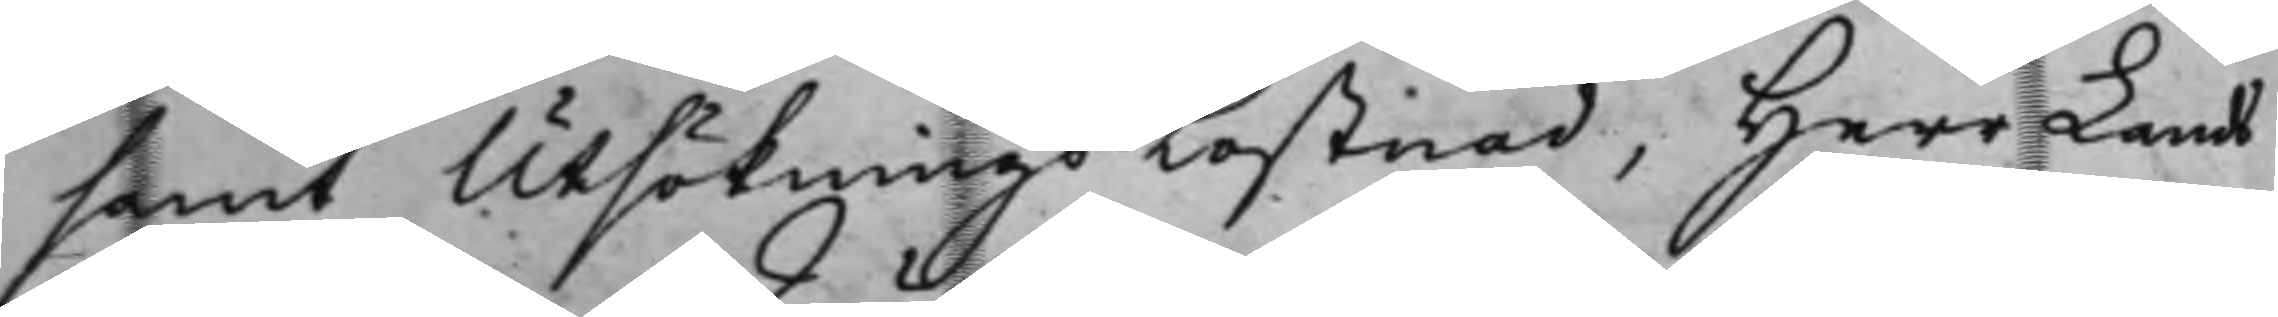samt Utsökningskostnad, Herr Lands¬
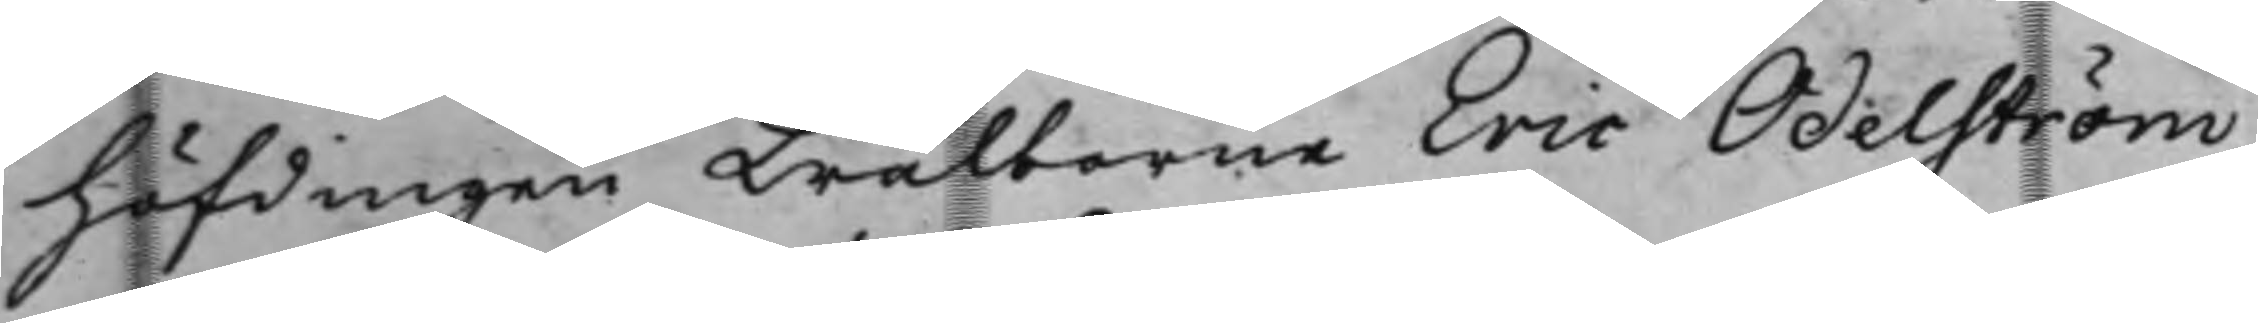höfdingen Wälborne Eric Odelström,
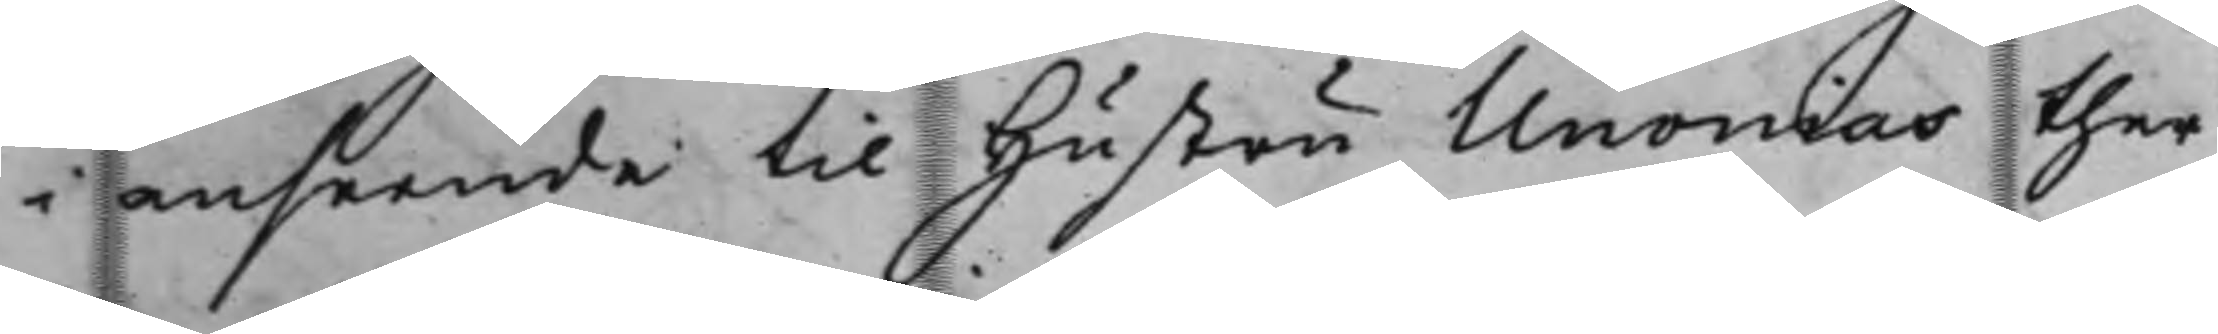i anseende til hustru Unonias ther¬
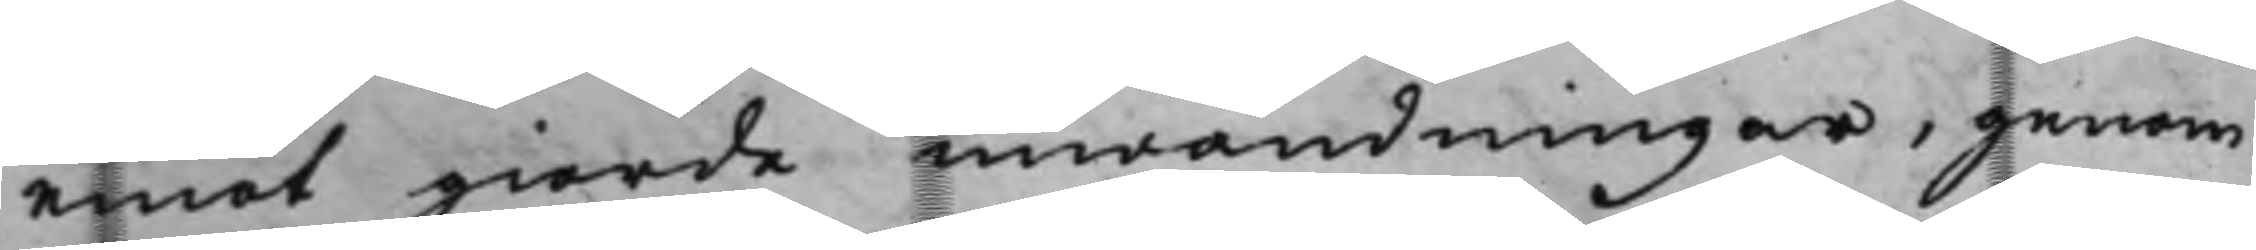emot giorde inwändningar, genom
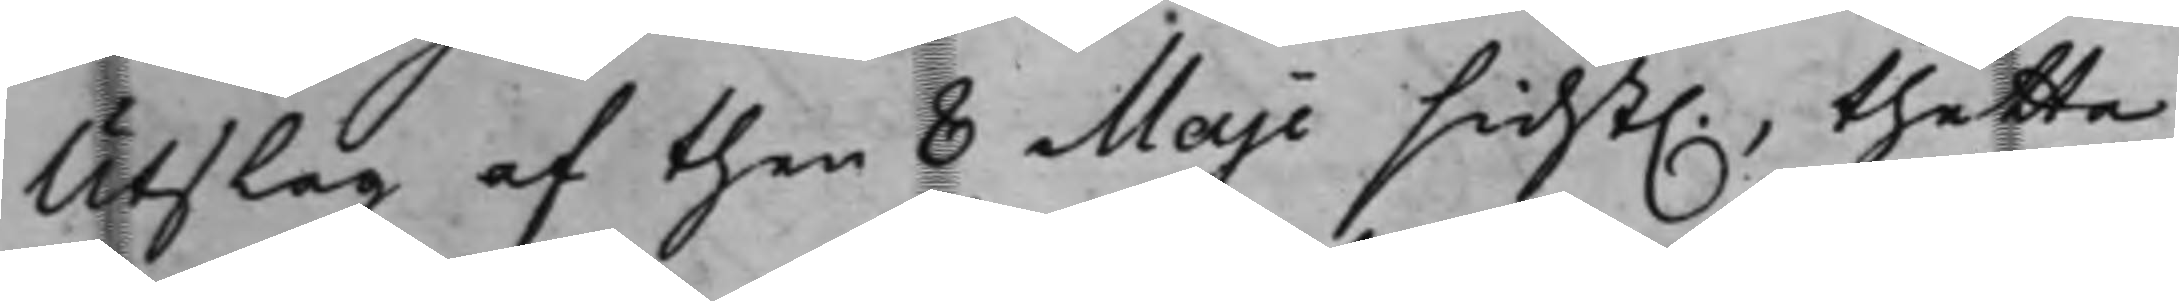Utslag af then 8 Maji sidst., thetta
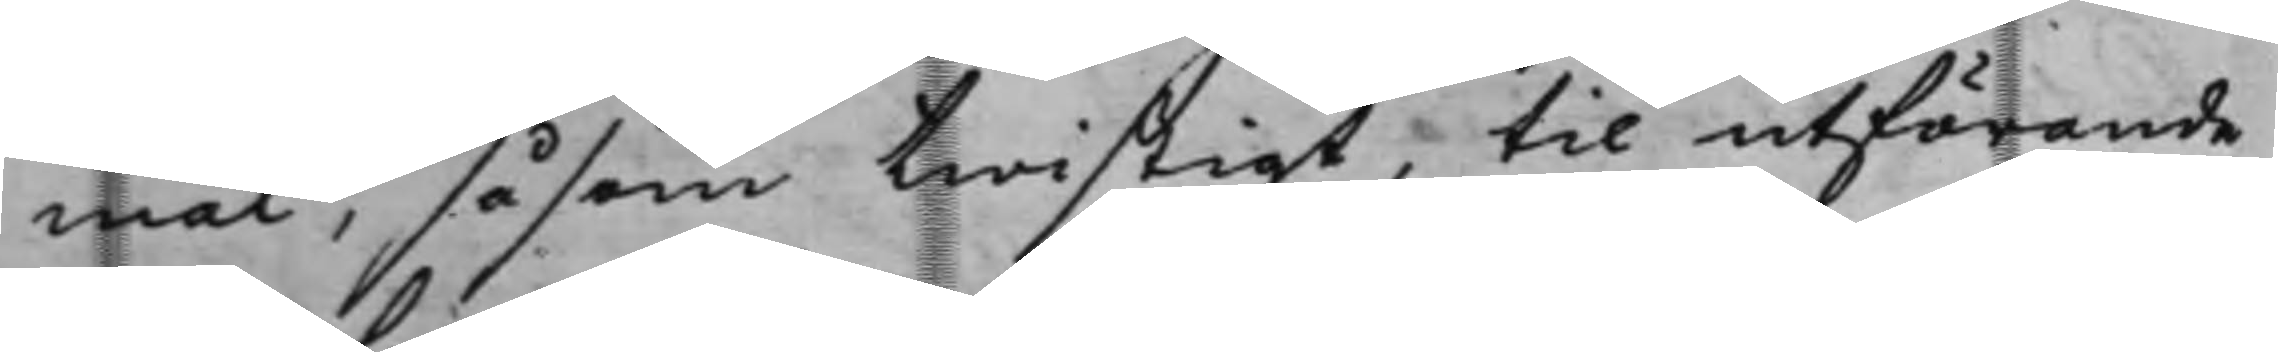mål, såsom twistigt, til utförande
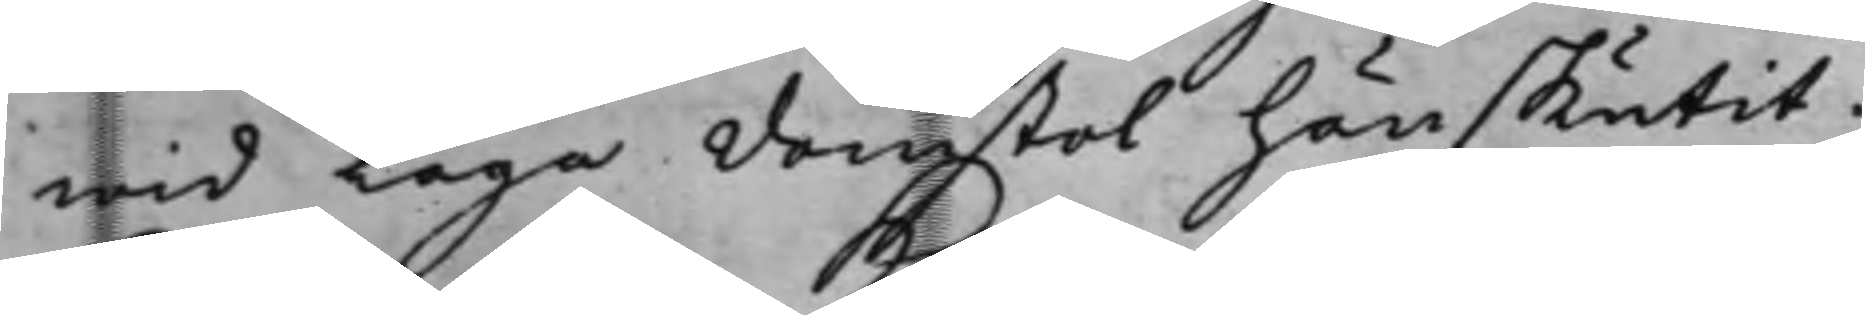wid Laga Domstol hänskutit.
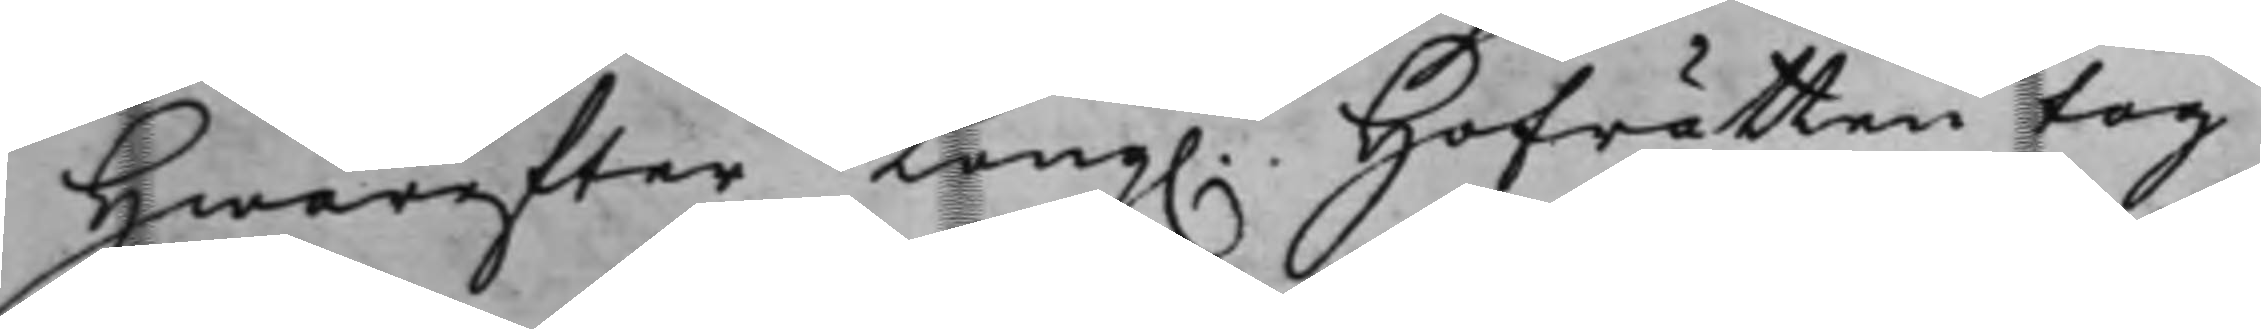Hwarefter Kong. Hofrätten tog
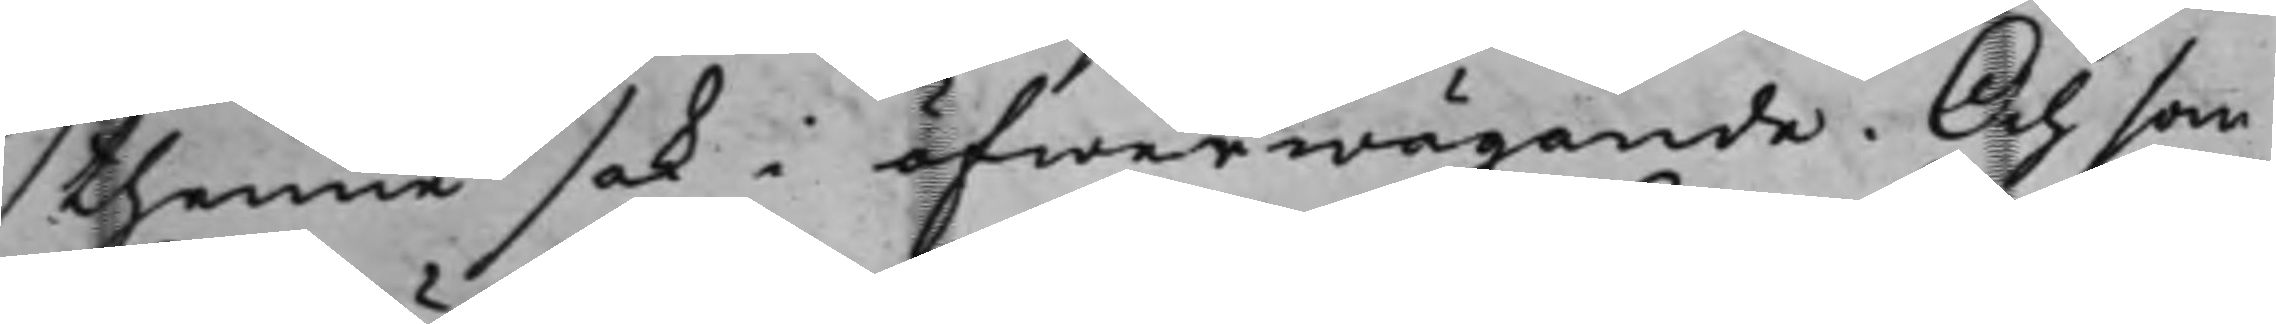thenne sak i öfwerwägande. Och som
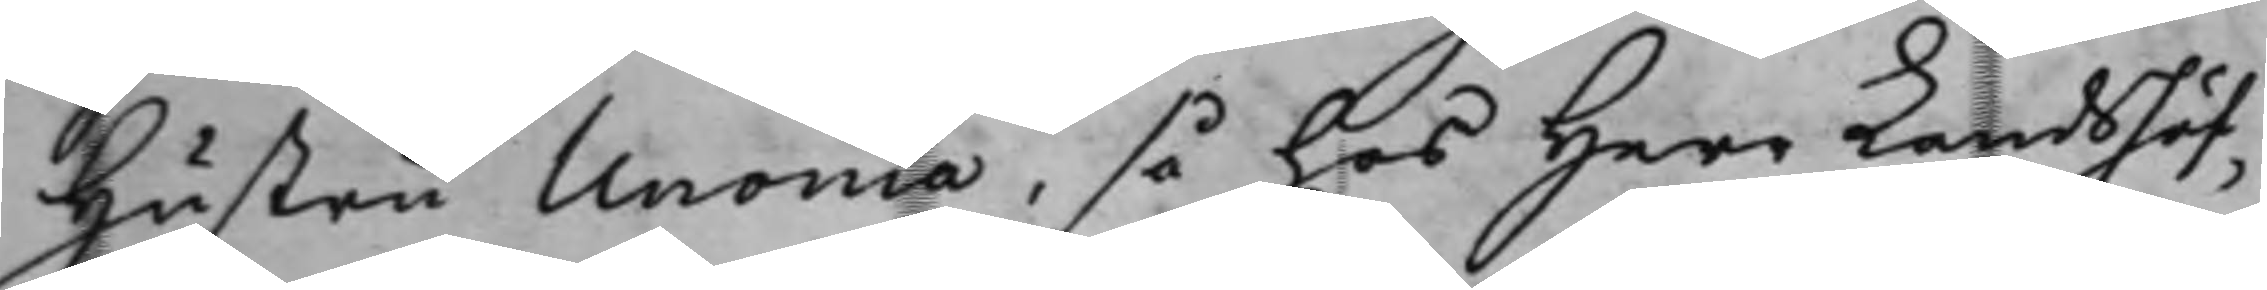Hustru Unonia, så hos Herr Landshöf¬
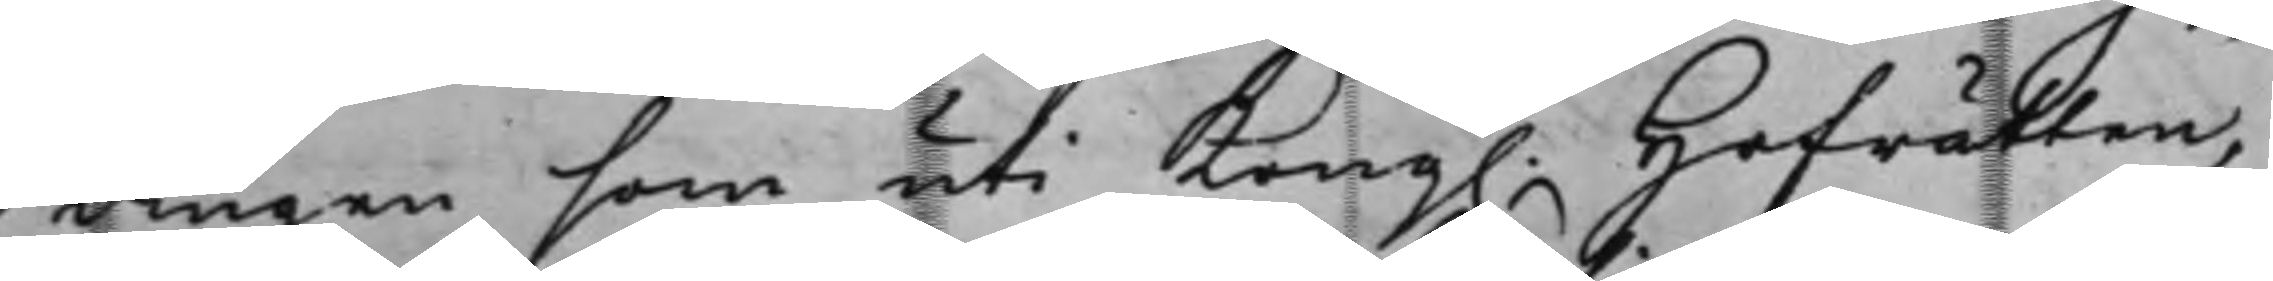dingen som uti Kong. Hofrätten,
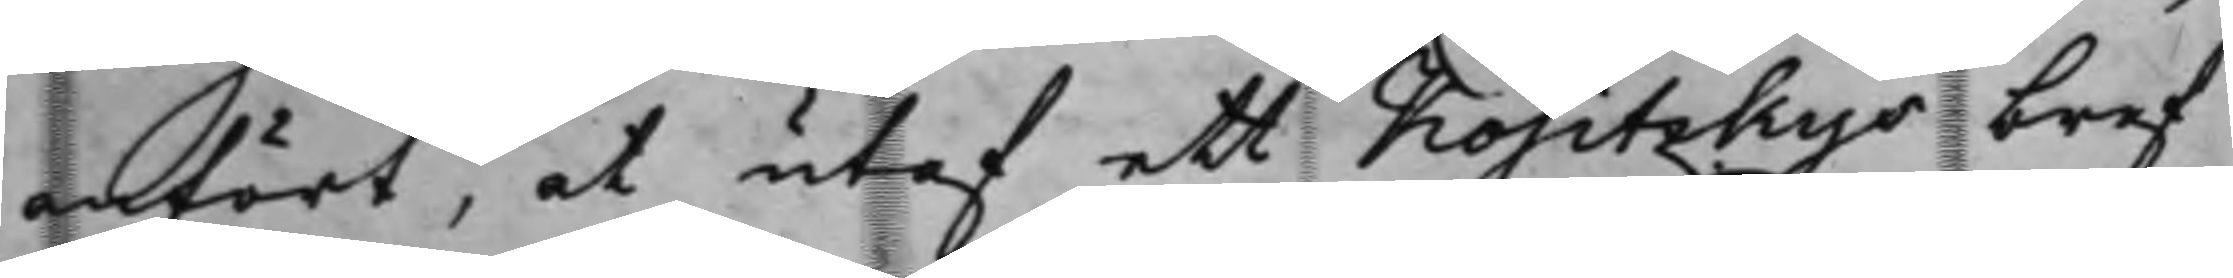anfört, at utaf ett Kositzkys bref
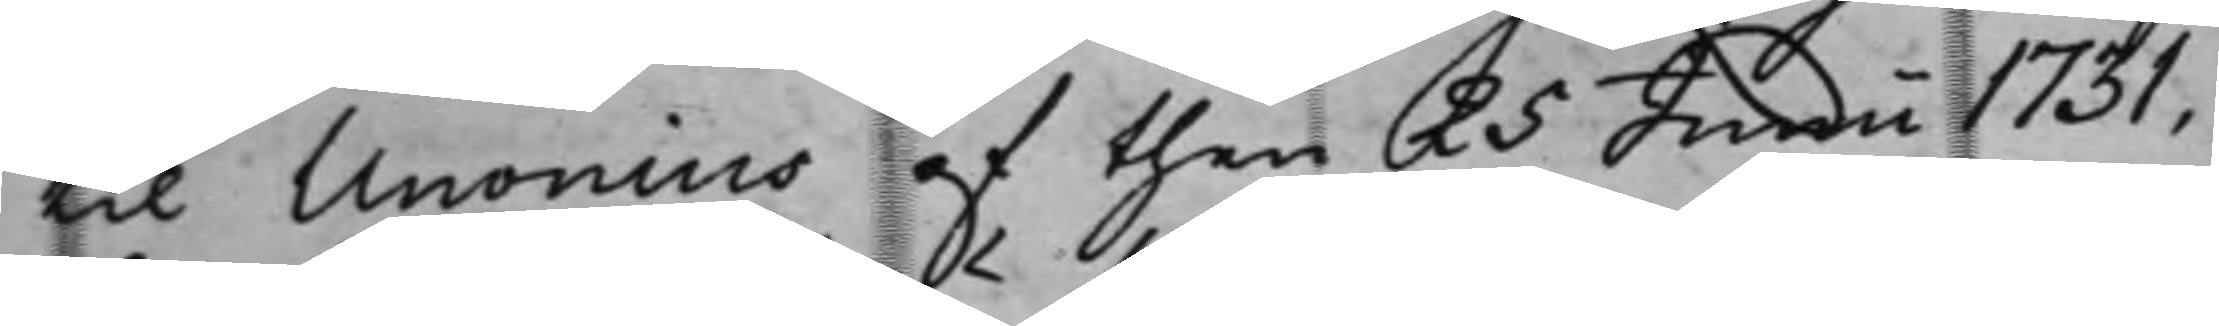til Unonius af then 25 Junii 1731,
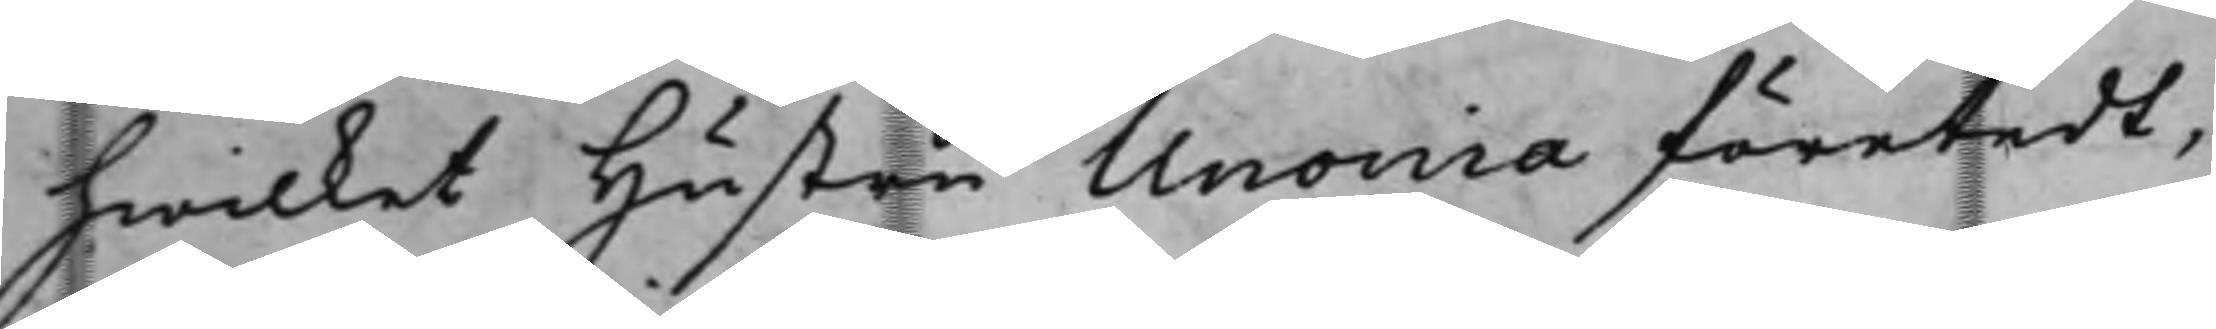hwilket Hustru Unonia företedt,
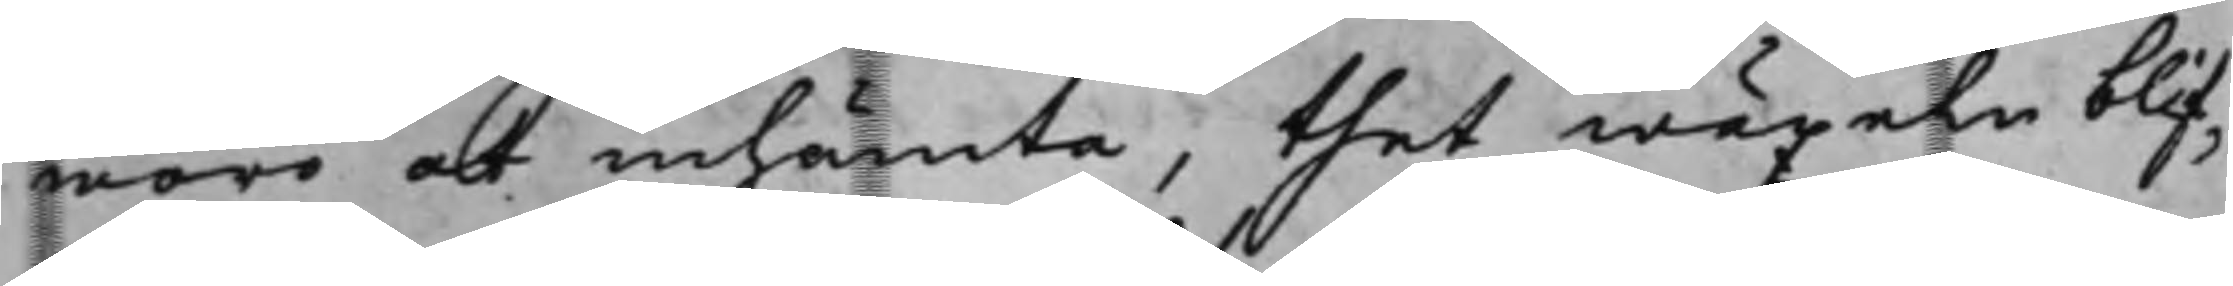woro at inhämta, thet wäxeln blif¬
